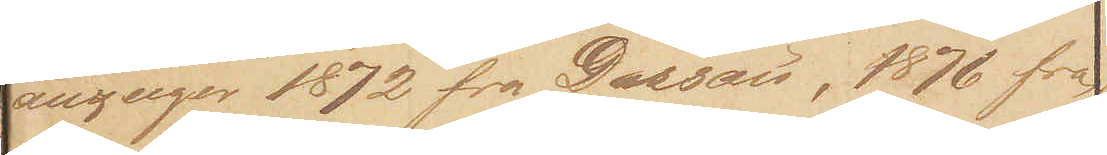anzeiger 1872 fra Dessau, 1876 fra
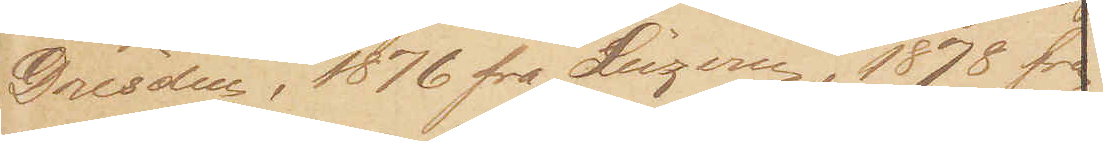Dresden, 1876 fra Luzern, 1878 fra
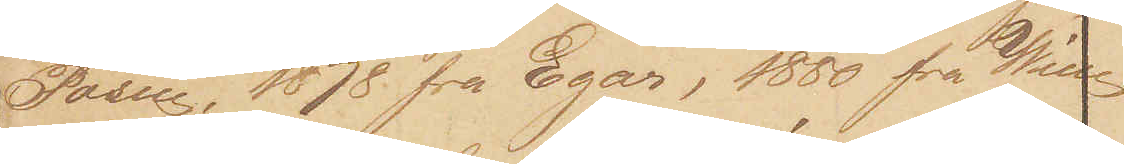Posen, 1878 fra Egar, 1880 fra Wien
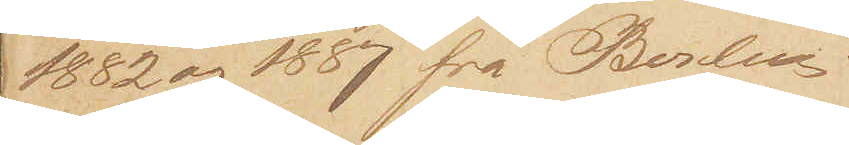1882 og 1887 fra Berlin.
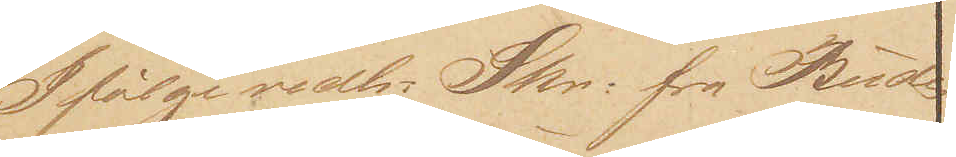Ifølge vedh: Skr: fra Buda¬
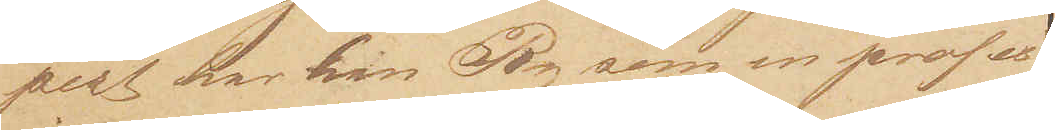pest har han Ry som profes¬
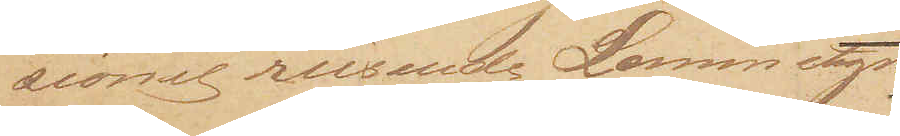sionel reisende Lommetyv.
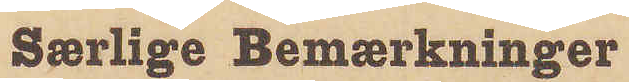Særlige Bemærkninger
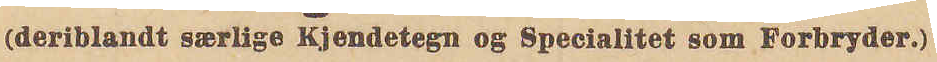(deriblandt særlige Kjendetegn og Specialitet som Forbryder.)
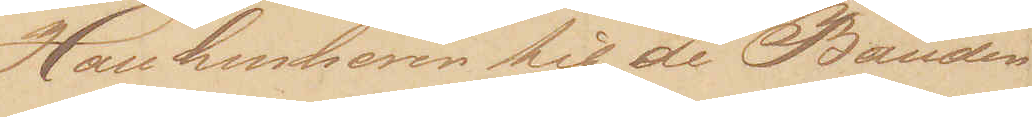Han henhører til de Bander
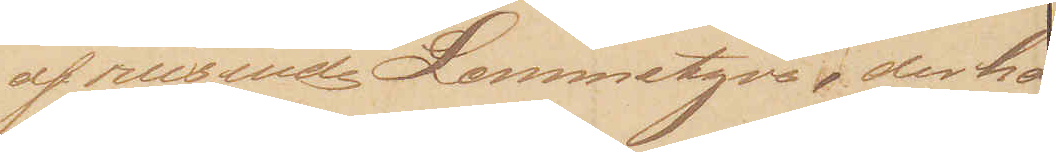af reisende Lommetyve, der ha¬
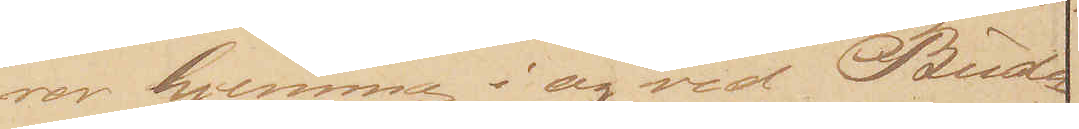ver hjemme i og ved Buda¬
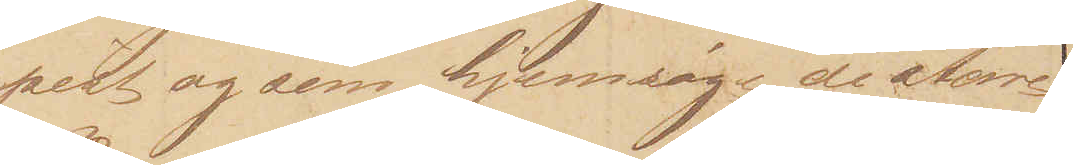pest og som hjemsøger de større
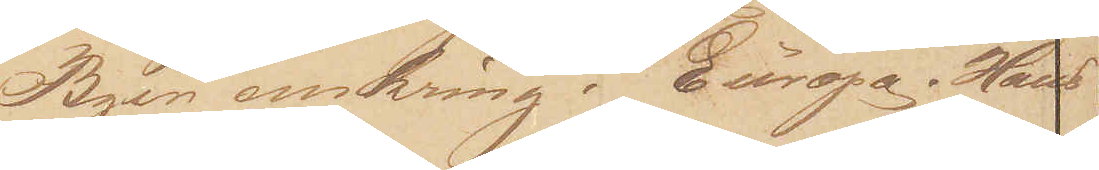Byer omkring i Europa. Hans
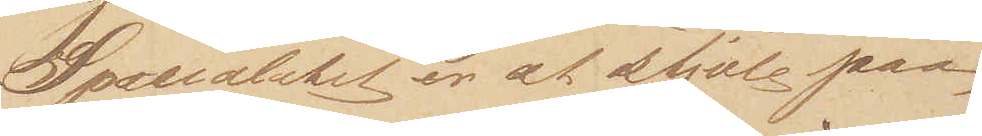Specialitet er at stjæle paa
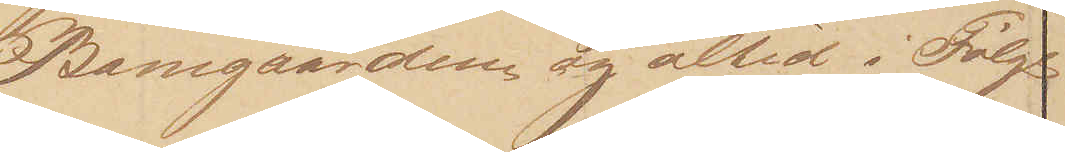Banegaardene og altid i Følge 
